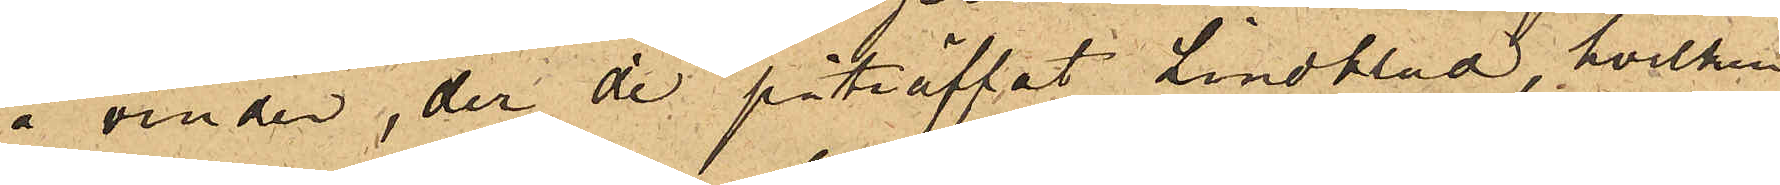å vinden, der de påträffat Lindblad, hvilken
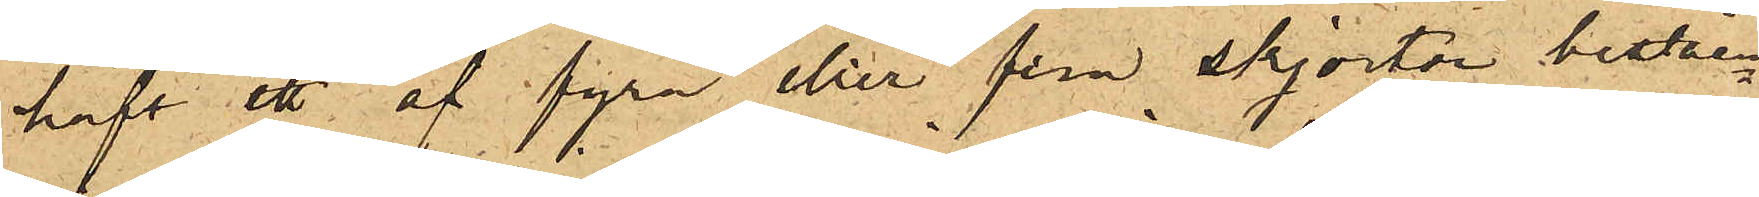haft ett af fyra eller fem skjortor beståen¬
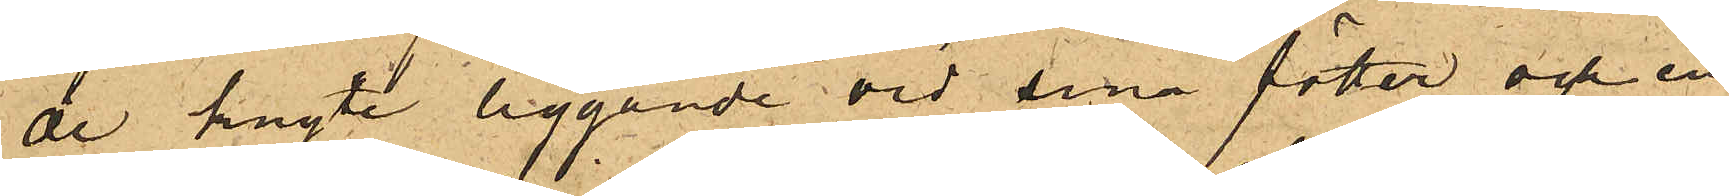de knyte liggande vid sina fötter och en
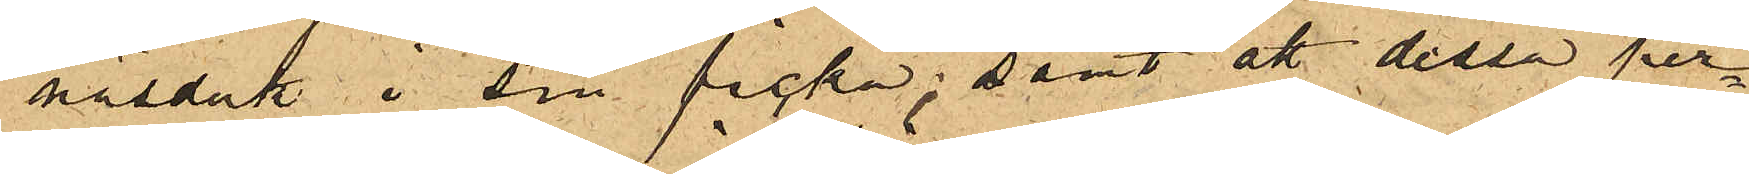näsduk i sin ficka; samt att dessa per¬
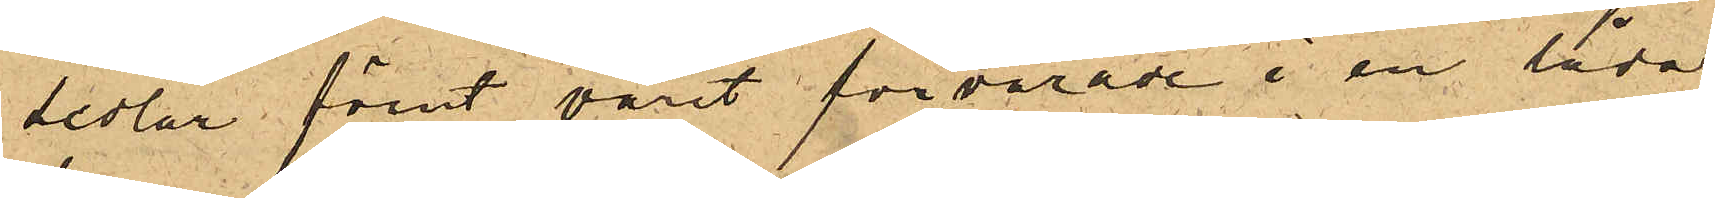sedlar förut varit förvarade i en låda,
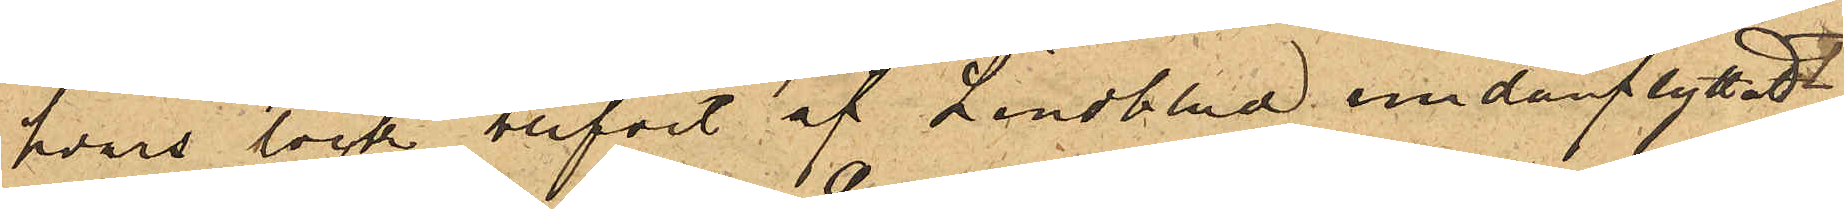hvars lock blifvit af Lindblad undanflyttadt.
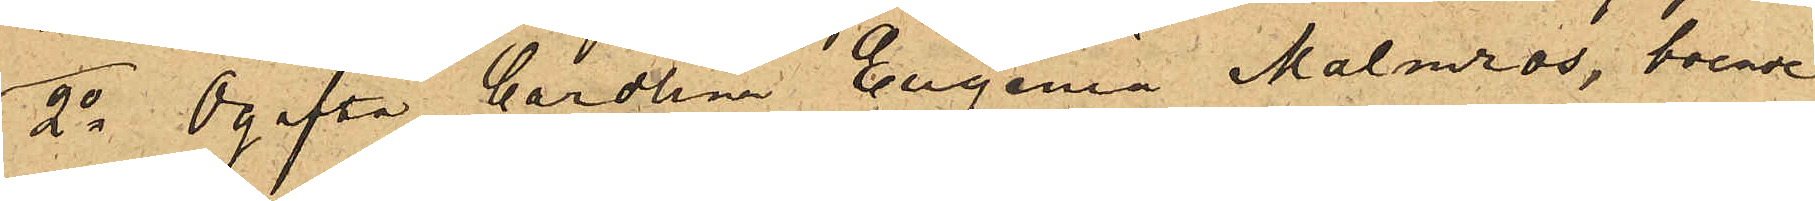2o Ogifta Carolina Eugenia Malmros, boende
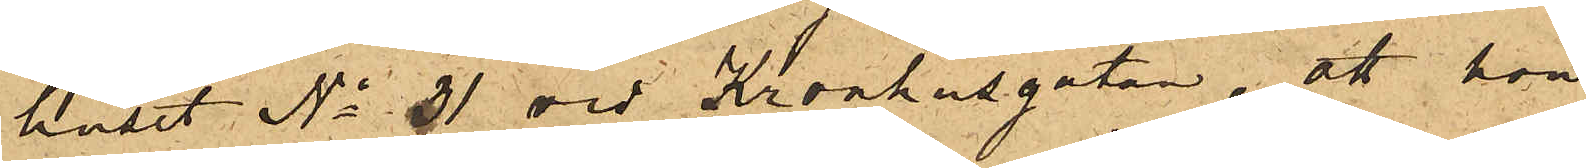i huset No 31 vid Kronhusgatan, att hon
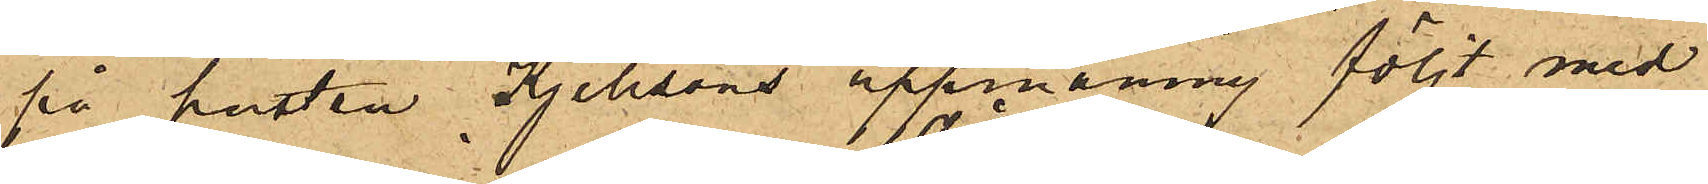på hustru Kjellsons uppmaning följt med
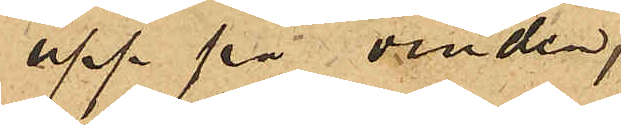upp på vinden,
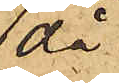då
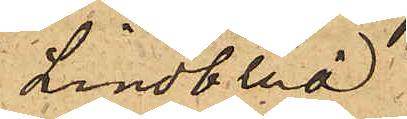Lindblad
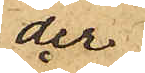der
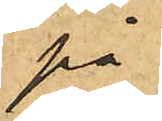på¬
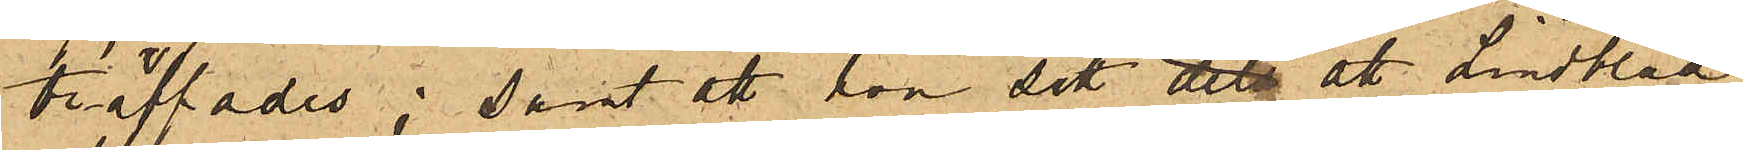träffades; samt att hon sett dels att Lindblad
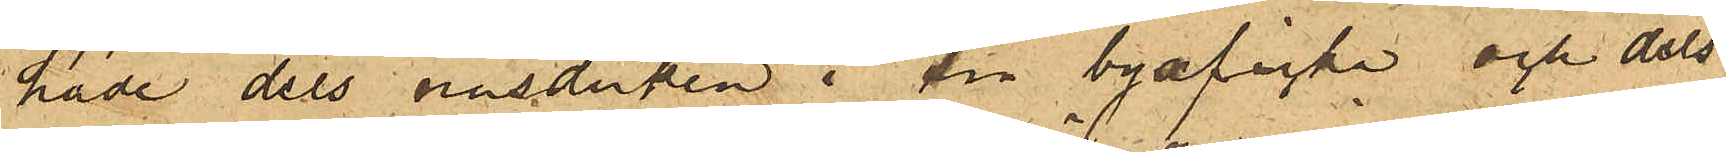hade dels näsduken i sin byxficka och dels
